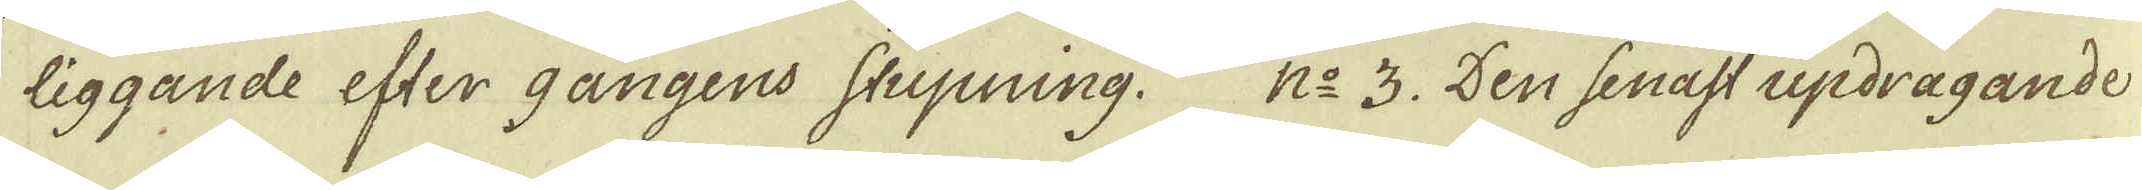liggande efter gångens stupning. N:o 3. Den senast updragande
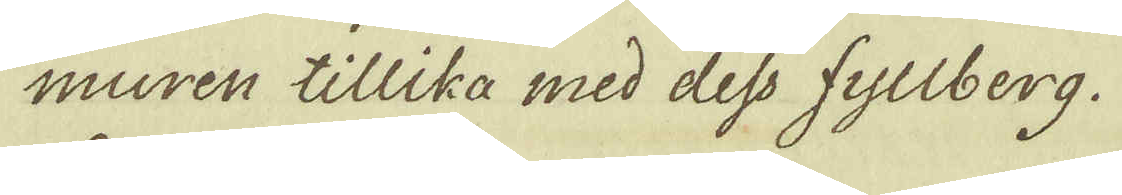muren tillika med dess fyllberg.
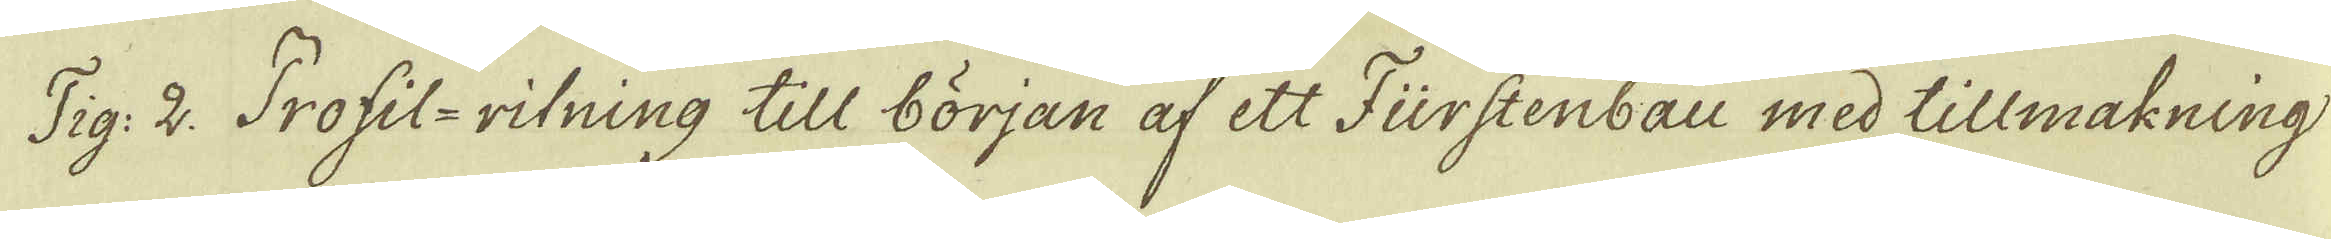Fig: 2. Profil-ritning till början af ett Fürstenbau med tillmakning
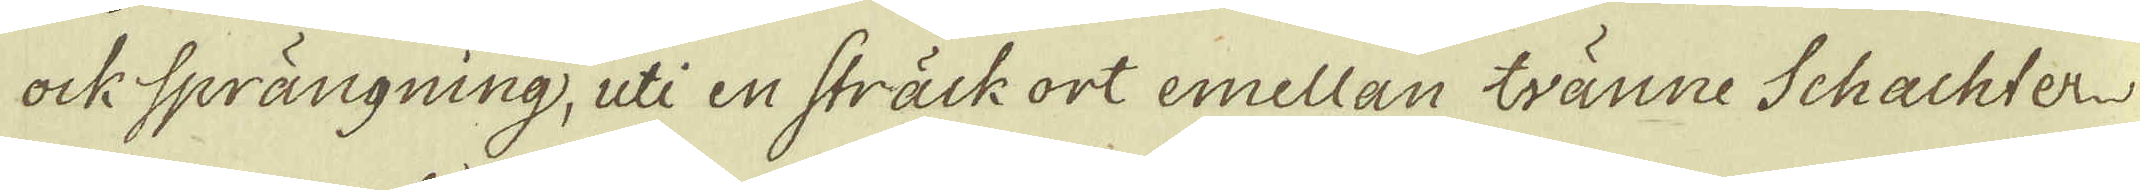ock sprängning, uti en sträck ort emellan tvänne Schachter
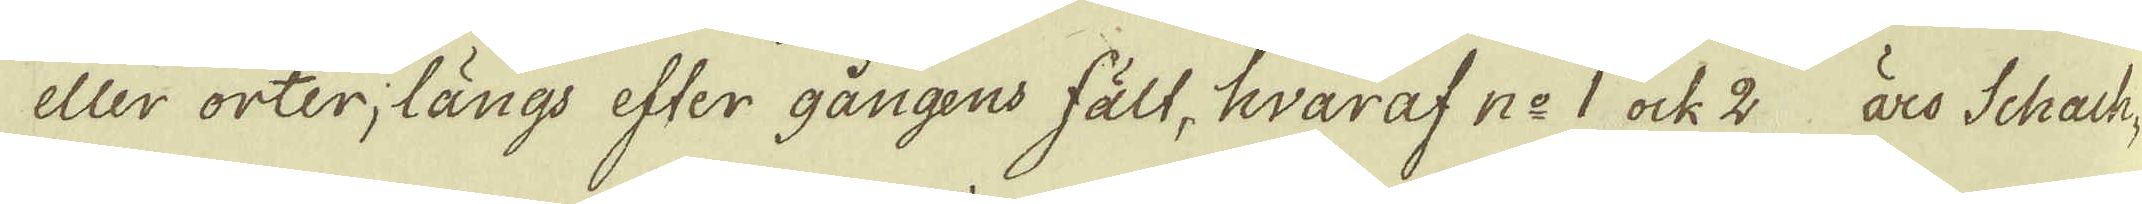eller orter; längs efter gångens fält, hvaraf no 1 ock 2 äro Schach-
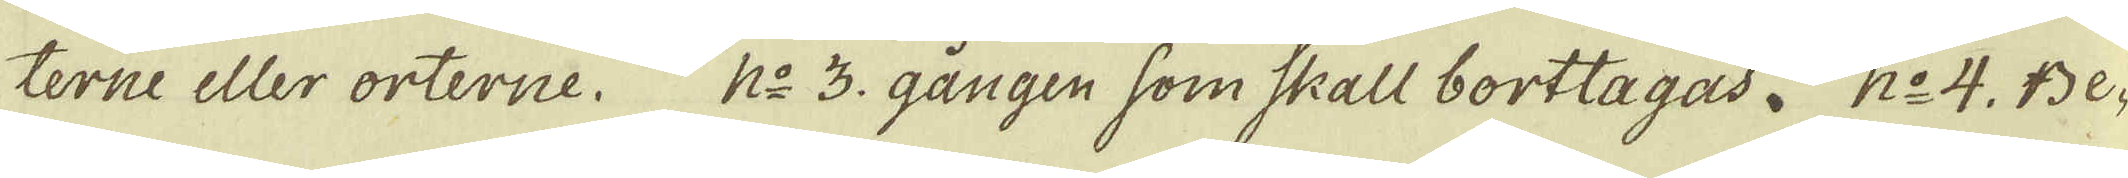terne eller orterne. N:o 3 gången som Skall borttagas. N:o 4. Be-
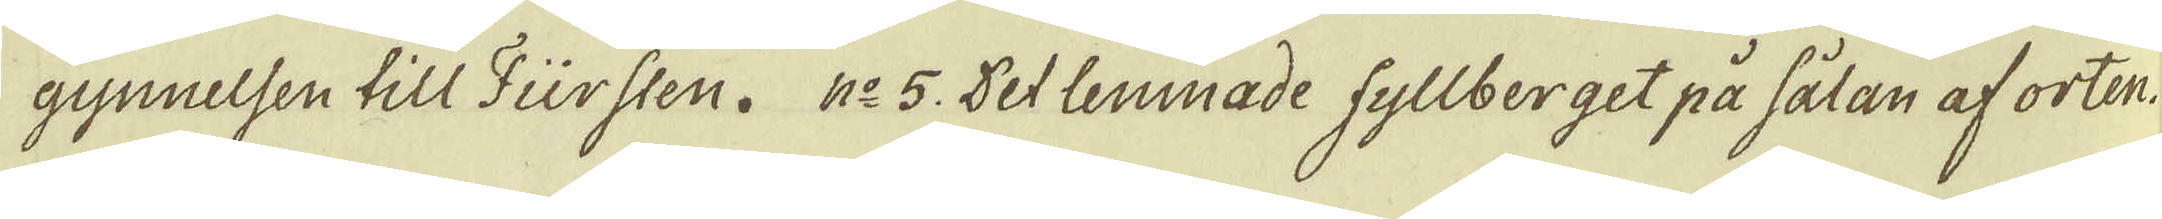gynnelsen till Fürsten. N:o 5. Det lemmade fyllberget på sålan af orten.
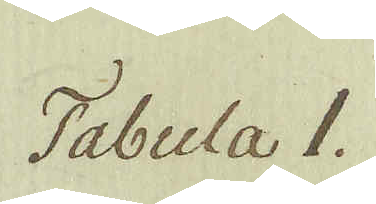Tabula 1.
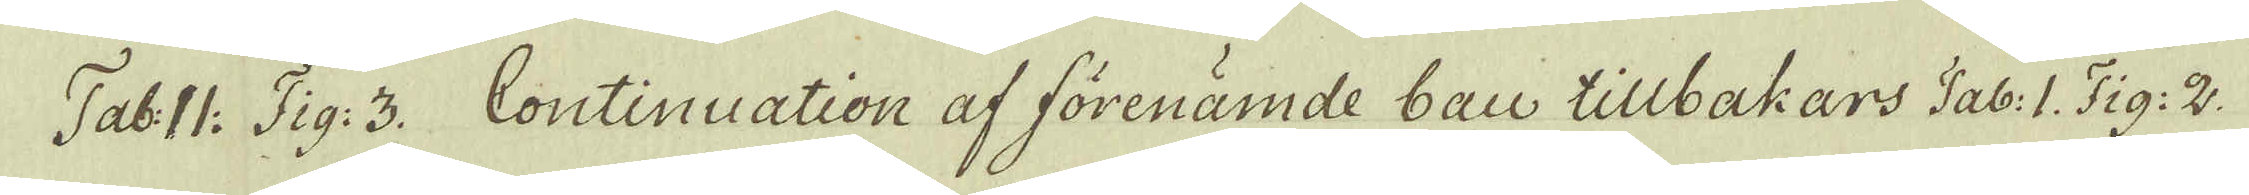Tab: II: Fig: 3. Continuation af förenämde bau tillbakars Tab: I. Fig: 2.
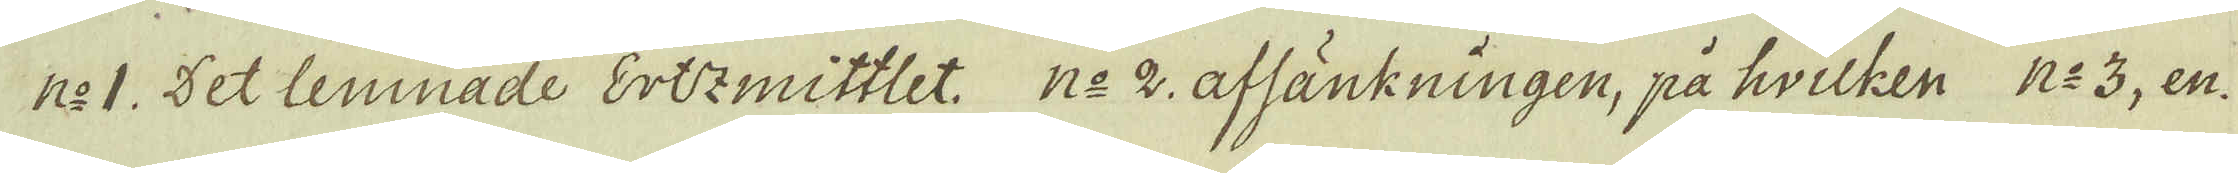n:o 1. Det lemnade Ertzmittlet. n:o 2 afsänkningen, på hvilken n:o 3, en-
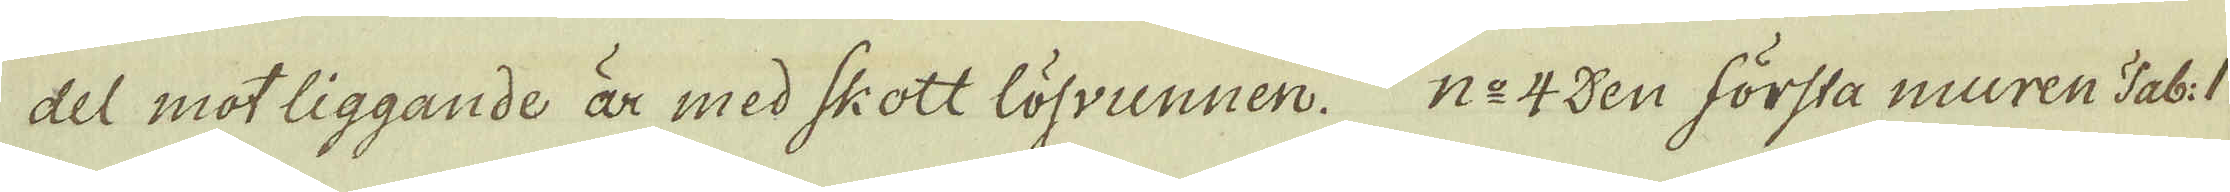del mot liggande är med skott lösvunnen. n:o 4 den första muren Tab: I
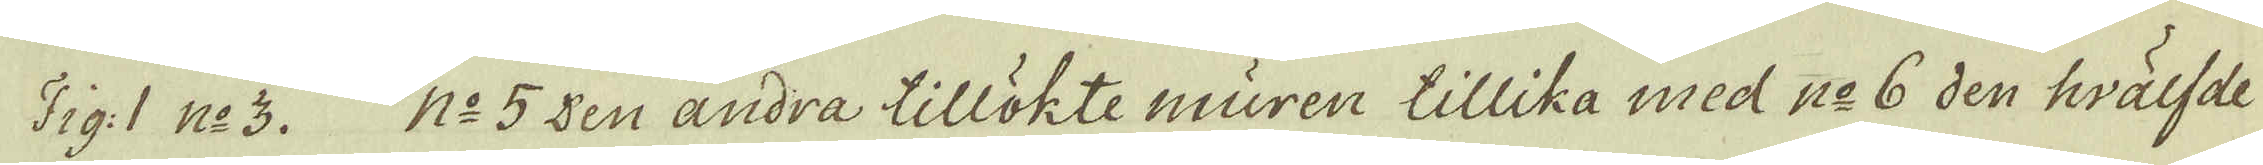Fig: 1 n:o 3. n:o 5 den andra tillökte muren tillika med n:o 6 den hvälfde
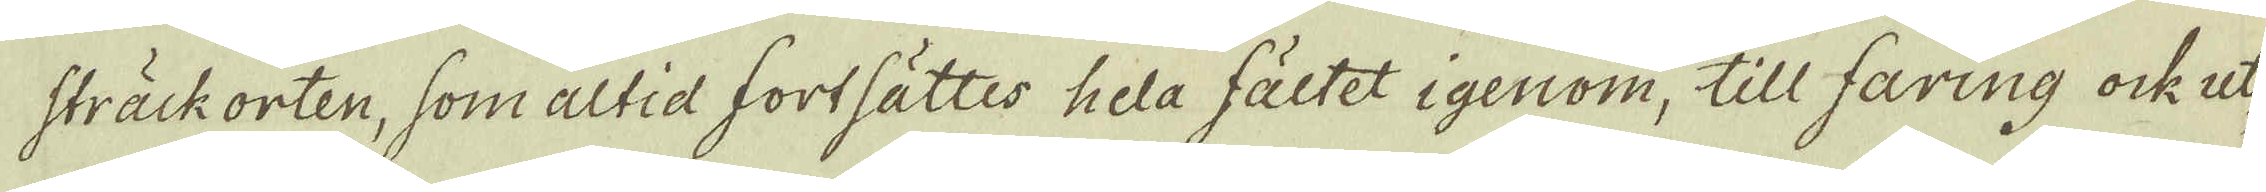sträckorten, som altid fortsättes hela fältet igenom, till faring ock ut-
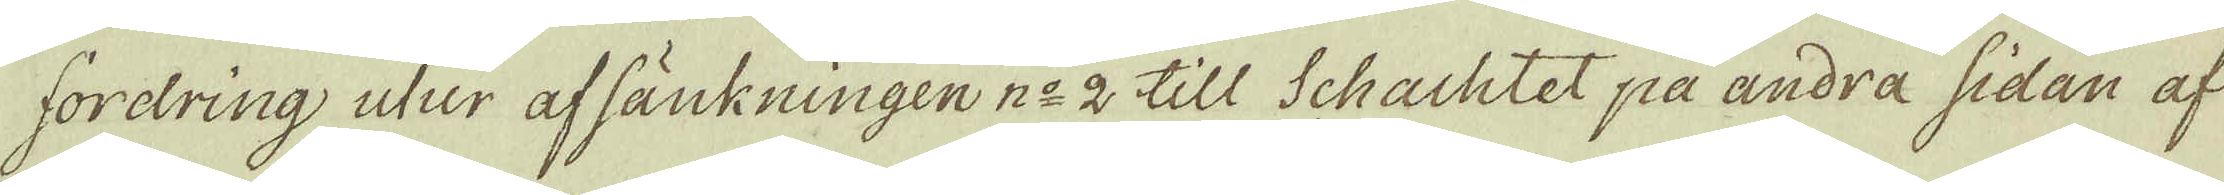fordring utur af sänkningen n:o 2 till Schachtet på andra sidan af
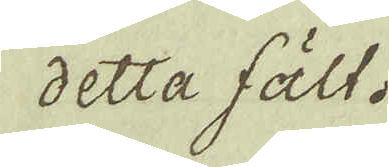detta fält.
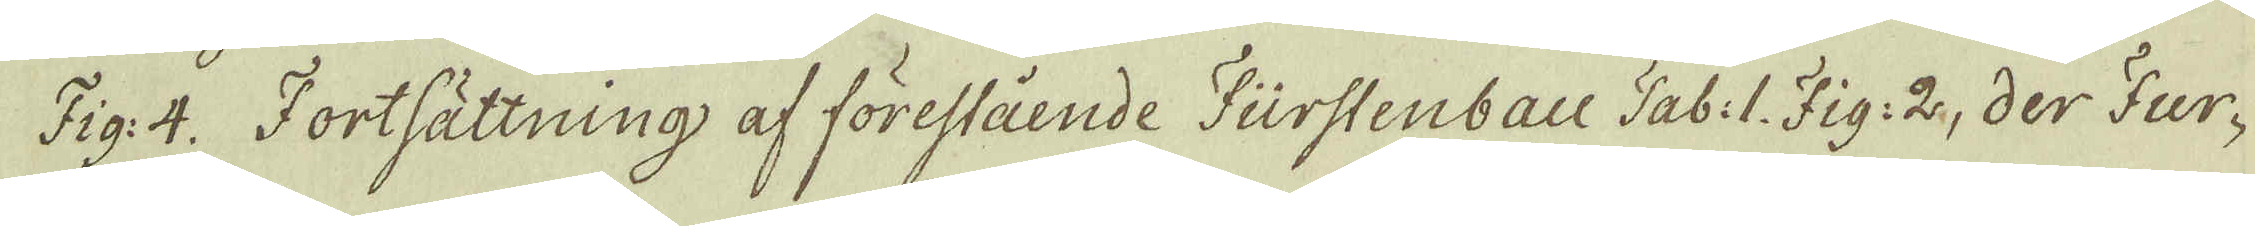Fig: 4. Fortsättning af förestående Fürstenbau Tab: 1. Fig: 2, der Fur-
